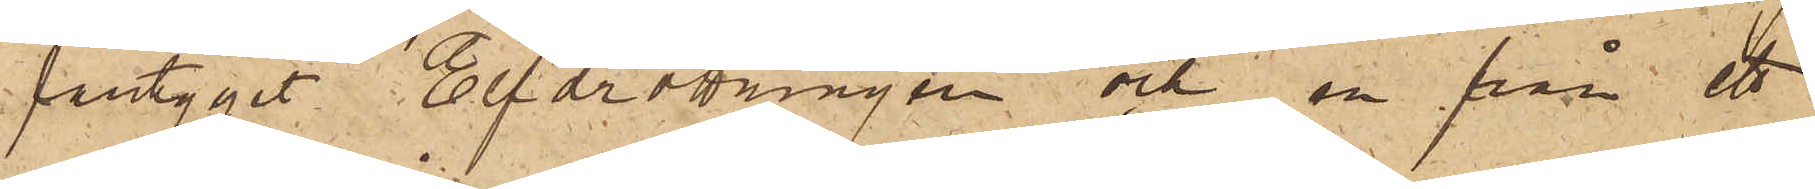fartyget Elfdrottningen och en från ett
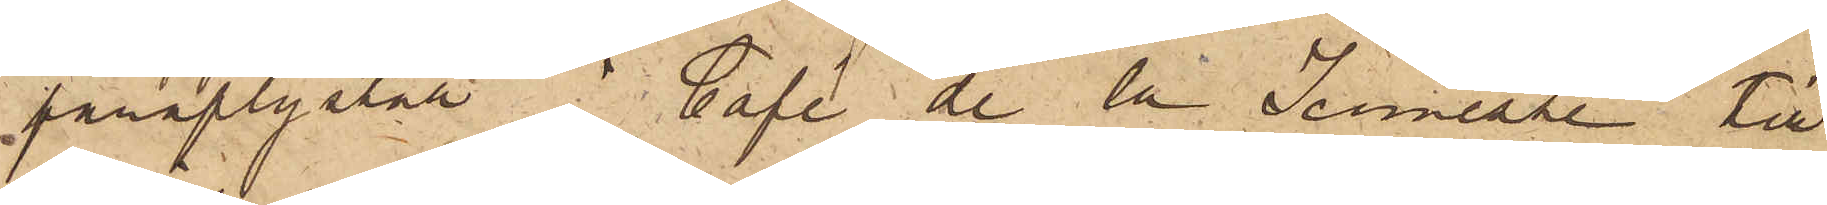paraplyställ i Café de la Jeunesse till
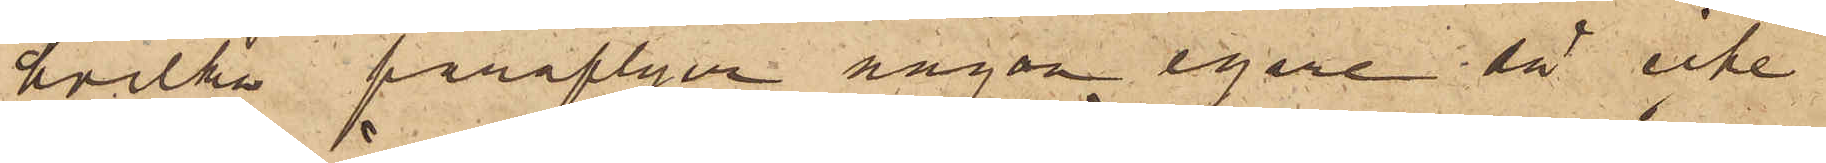hvilka paraplyer någon egare då icke
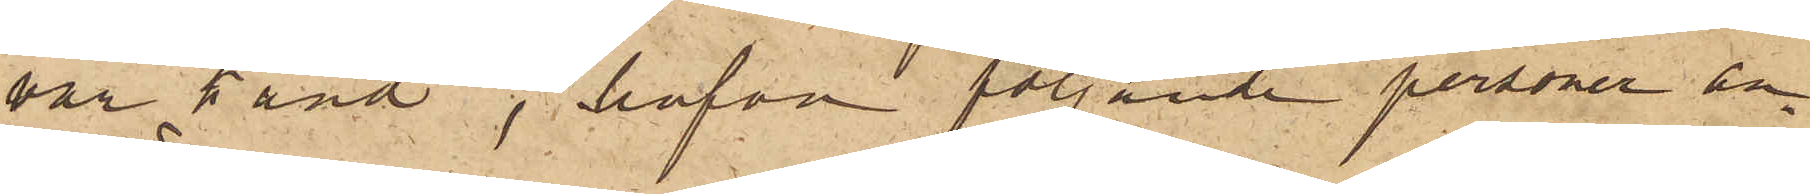var känd, hafva följande personer an¬
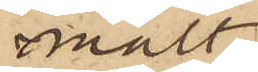mält.
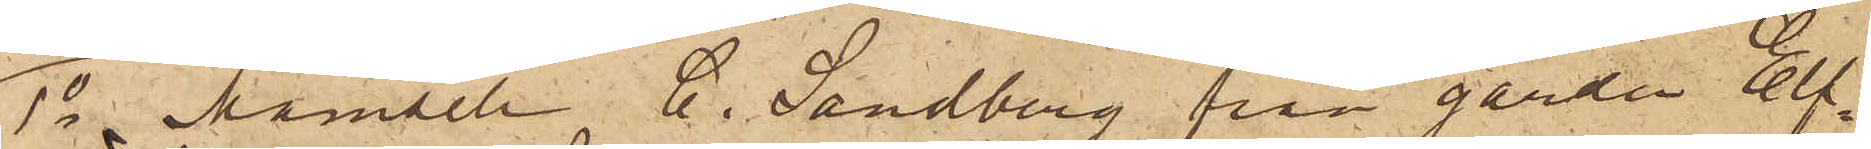1o Mamsell C. Sandberg från gården Elf¬
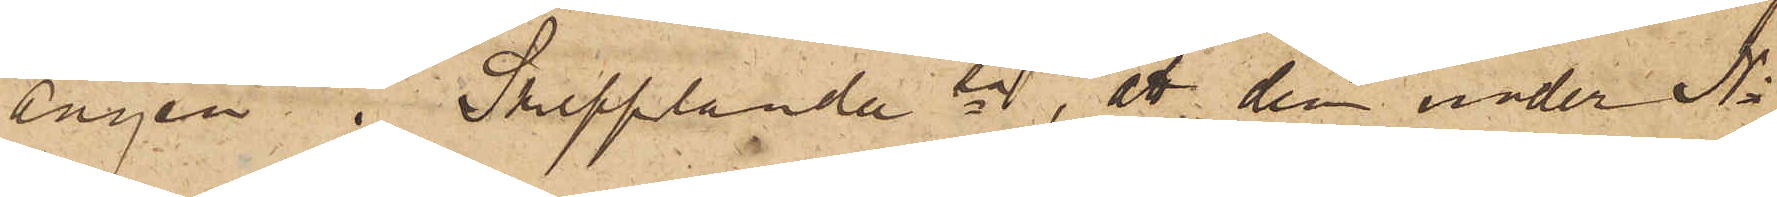ängen i Skepplanda sn , att den under No
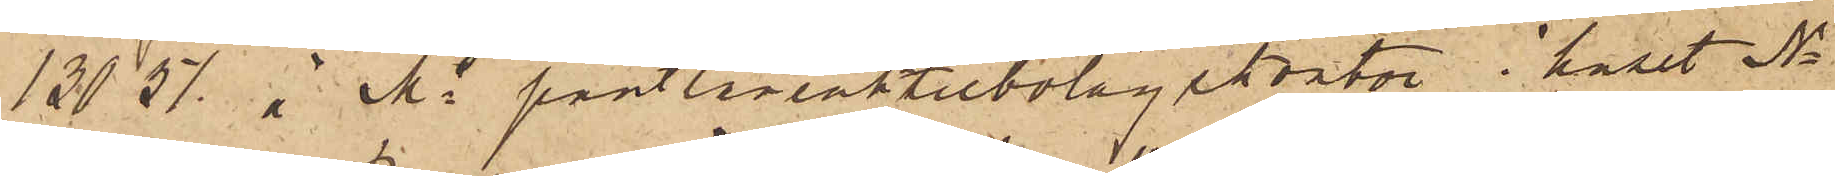13057 å Ms pantlåneaktiebolagskontor i huset No
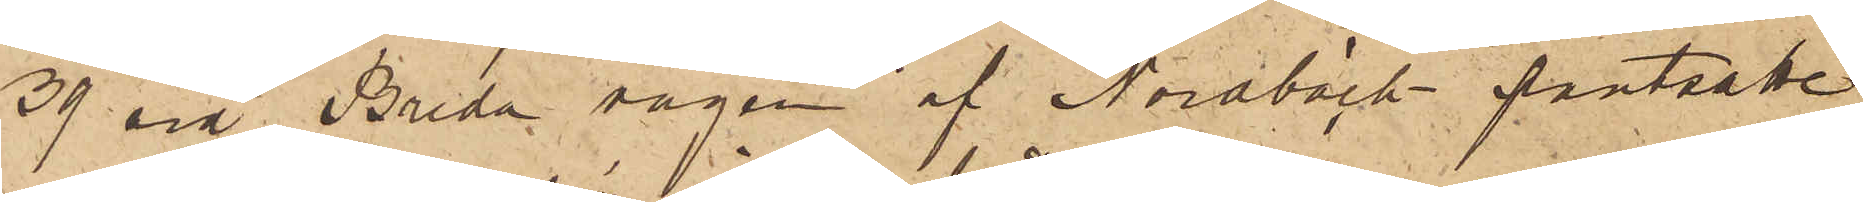39 vid Breda vägen af Nordbäck pantsatte
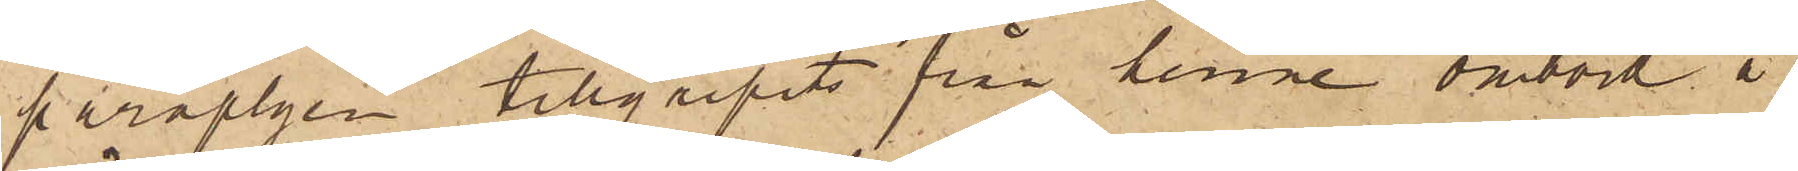paraplyen tillgripits från henne ombord å
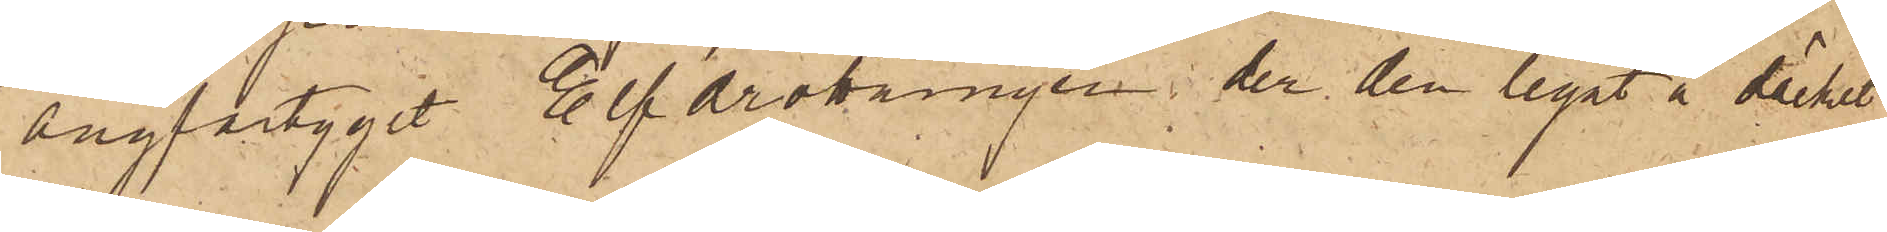ångfartyget Elfdrottningen, der den legat å däcket
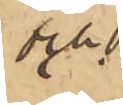och
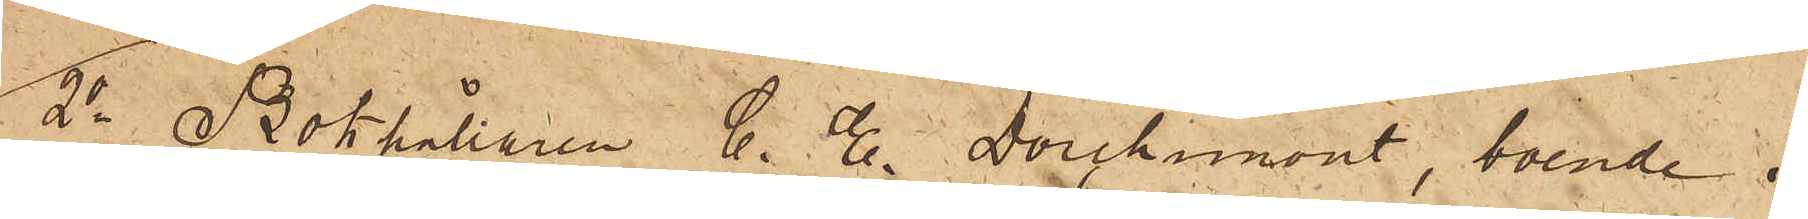2o Bokhållaren C. E.  Dorchimont, boende i
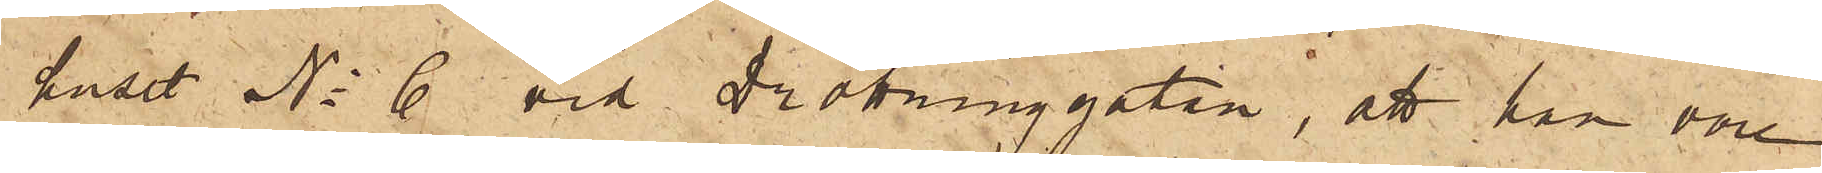huset No 6 vid Drottninggatan, att han vore
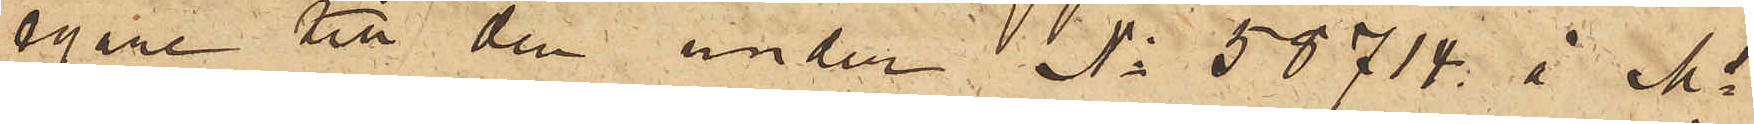egare till den under No 58714 å Ms
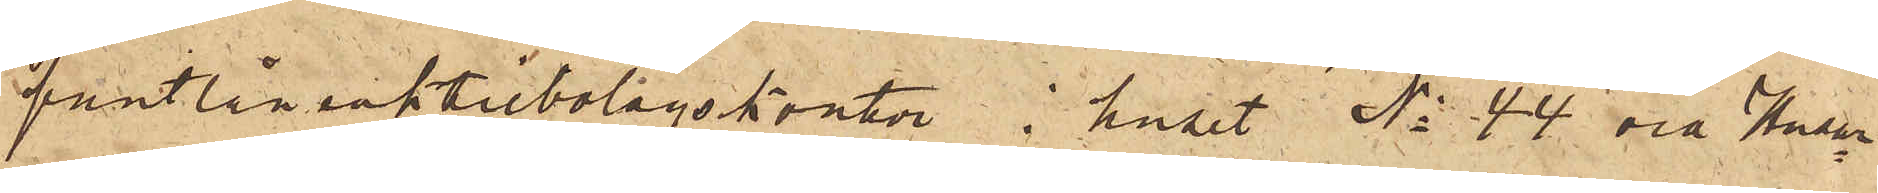pantlåneaktiebolagskontor i huset No 44 vid Husar¬
